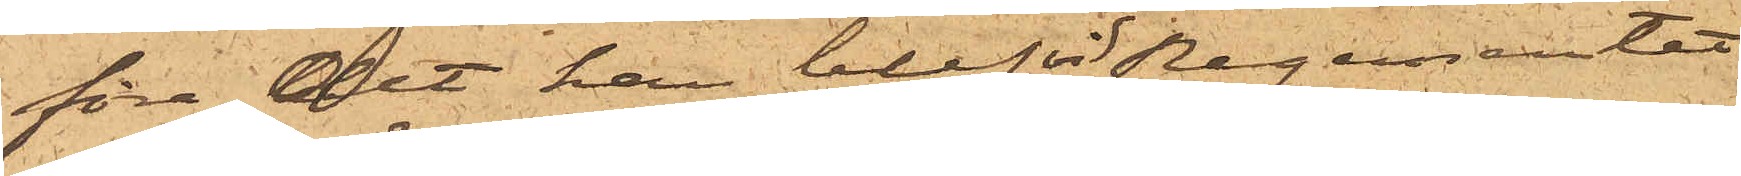före det han blef vid Regementet
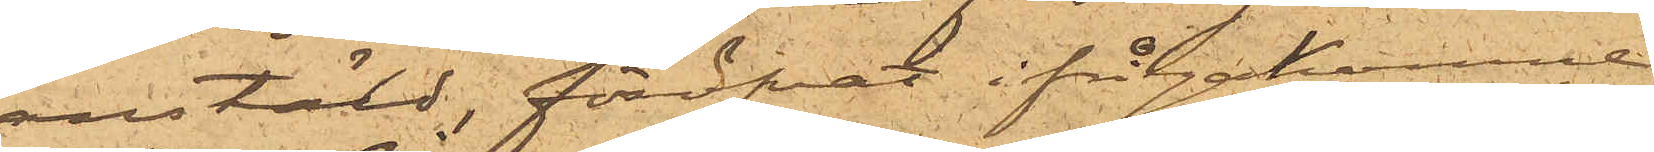anstäld, föröfvat ifrågakomne
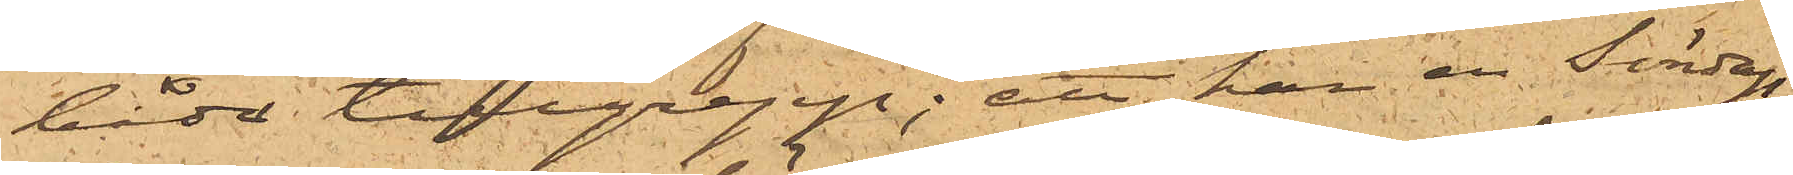båda tillgrepp; att han en Söndags¬
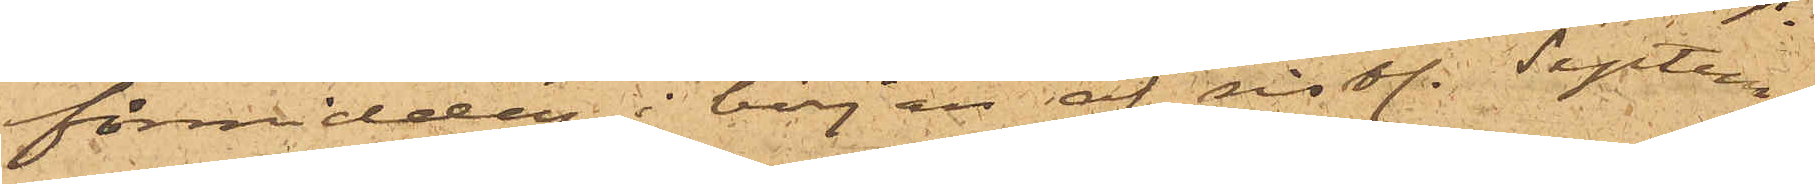förmiddag i början af sist. Septem¬
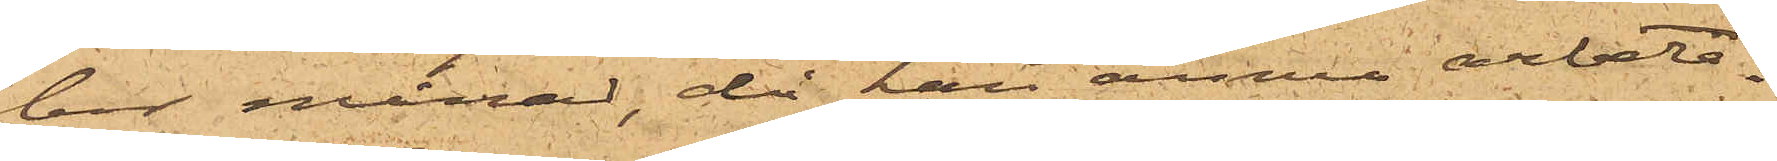ber månad, då han ännu arbeta¬
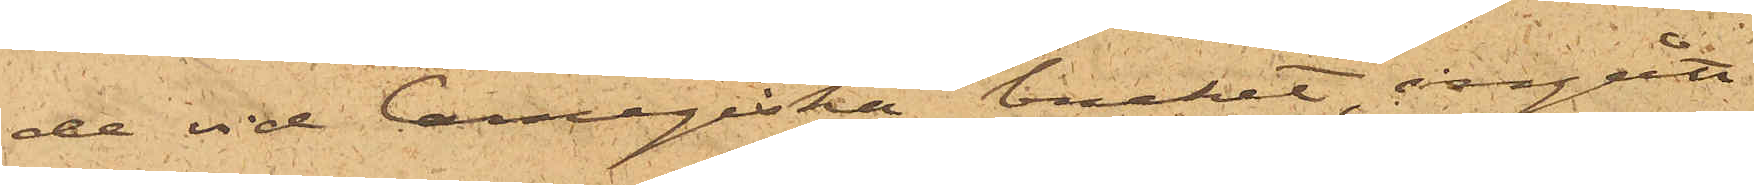de vid Carnegieska bruket, ingått
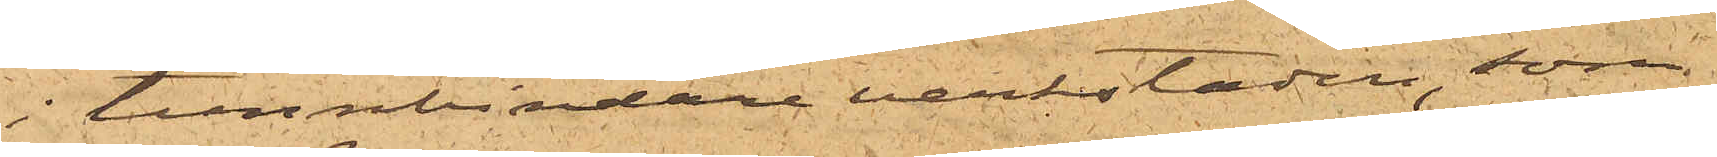i tunnbindareverkstaden, som
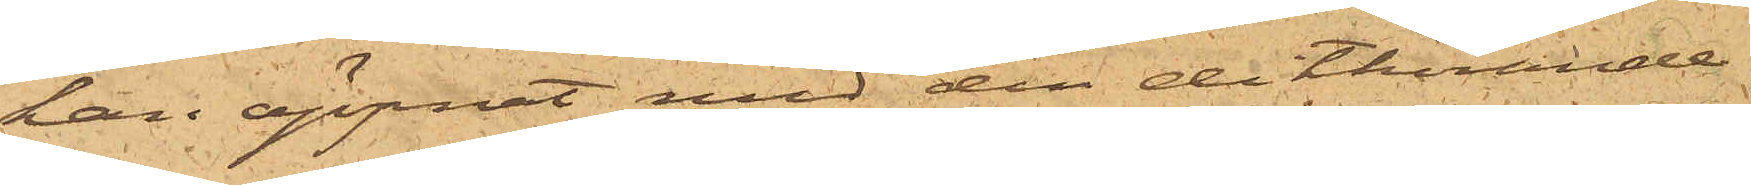han öppnat med den dithörande
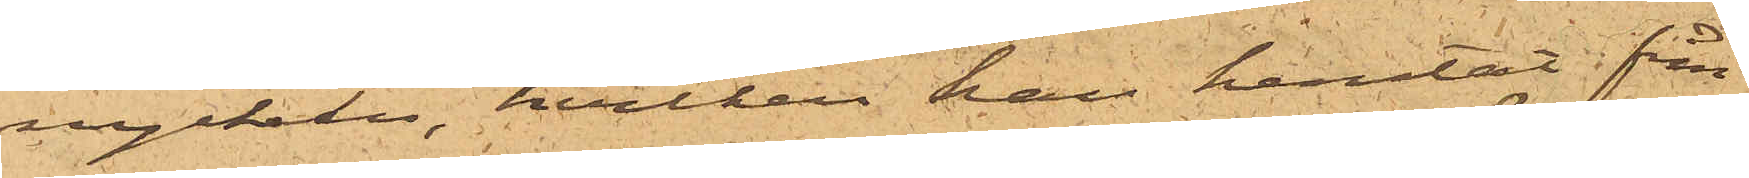nyckeln, hvilken han hämtat från
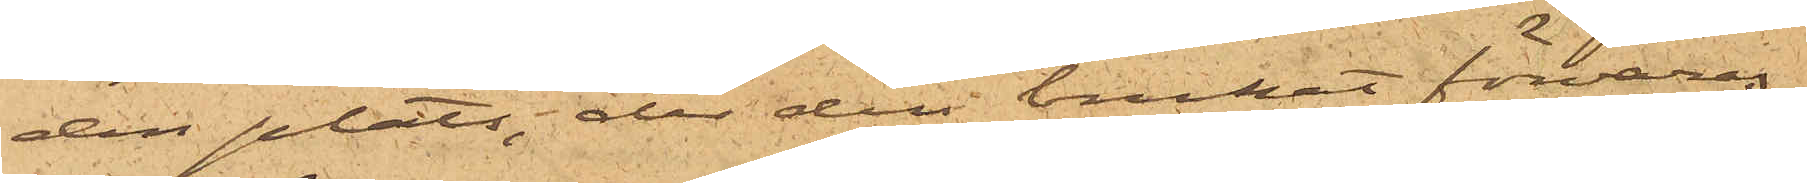den plats, der den brukat förvaras;
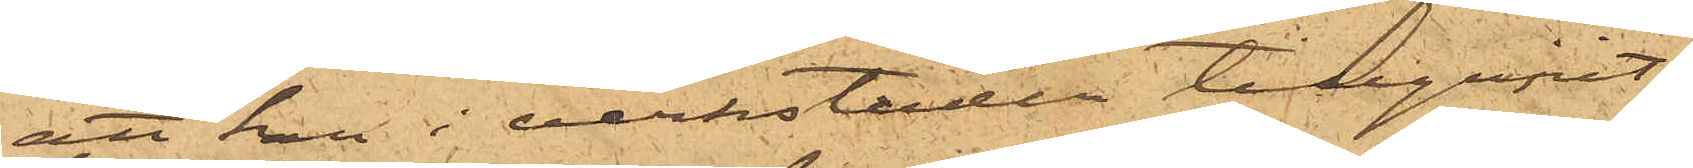att han i verkstaden tillgripit
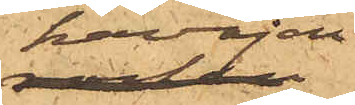kavajen
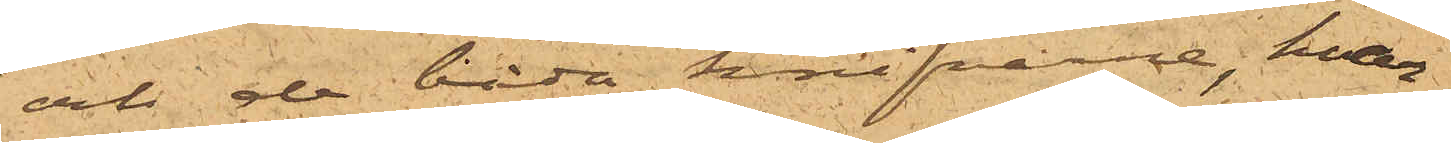och de båda knifvarne, hvar¬
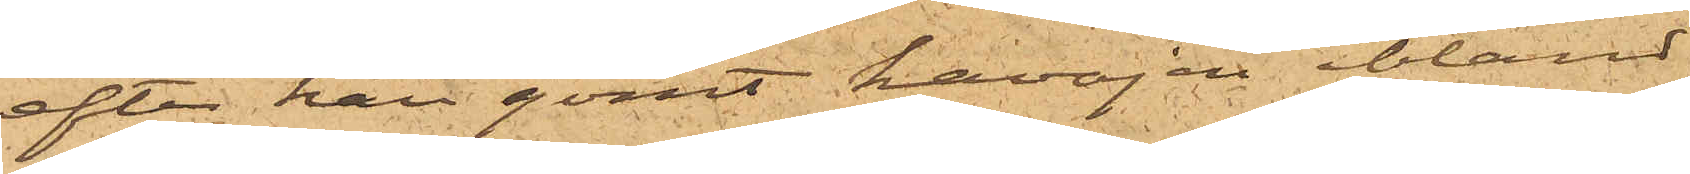efter han gömt kavajen ibland
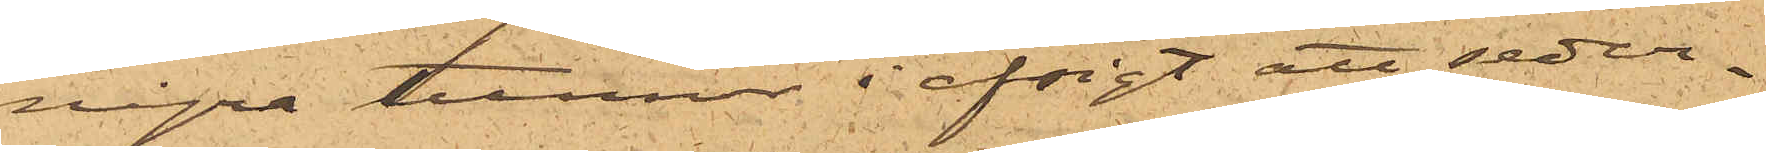några tunnor i afsigt att seder¬
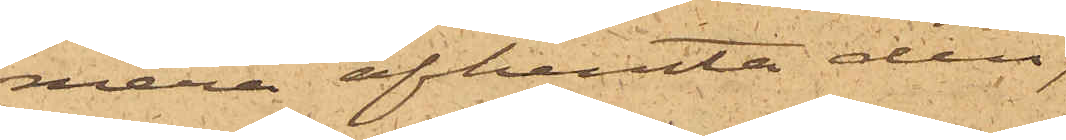mera afhemta den;
